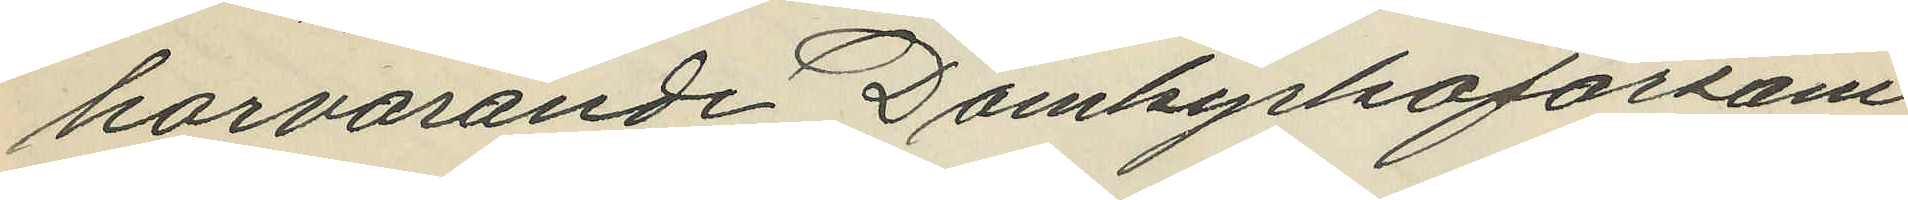härvarande Domkyrkoförsam¬
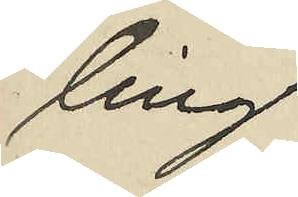ling.
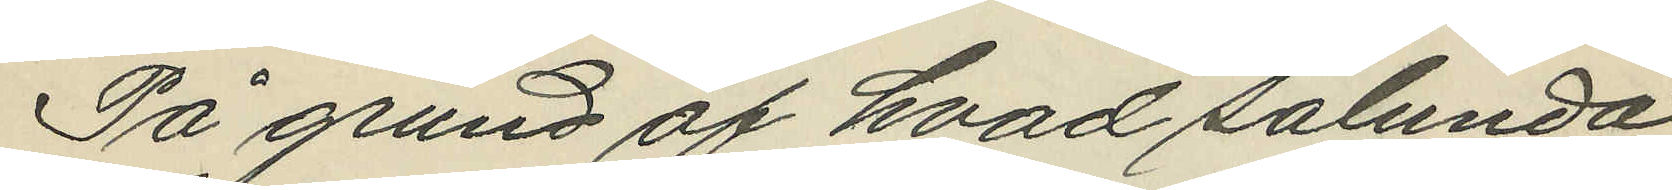På grund af hvad sålunda
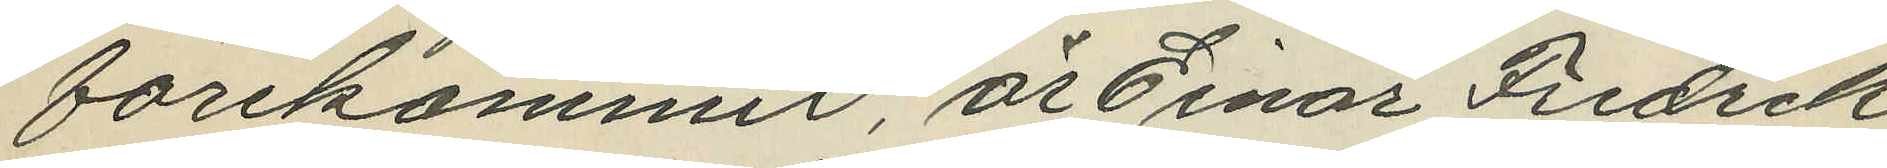förekommit, är Einar Fredrik
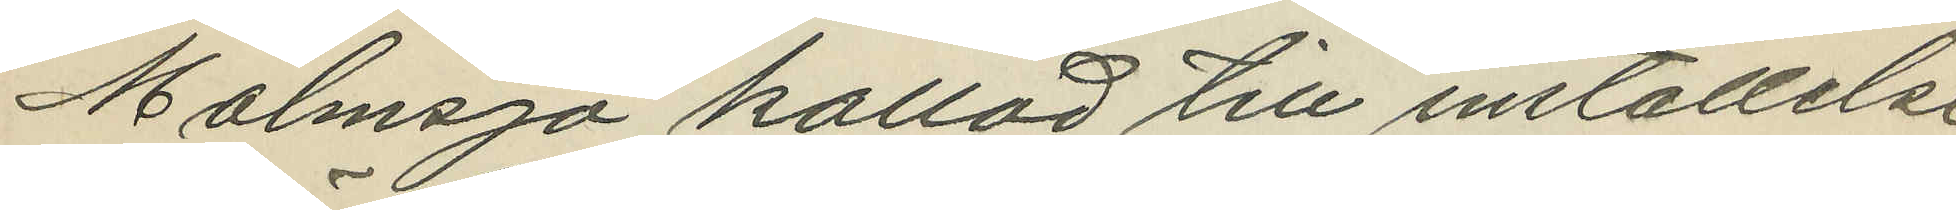Malmsjö kallad till inställelse
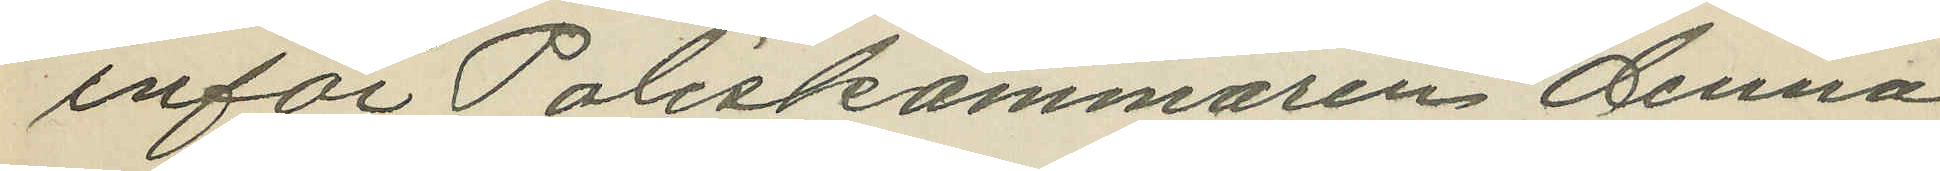inför Poliskammaren denna
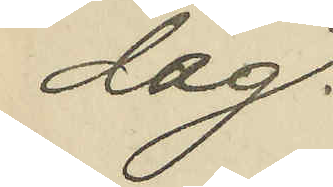dag.
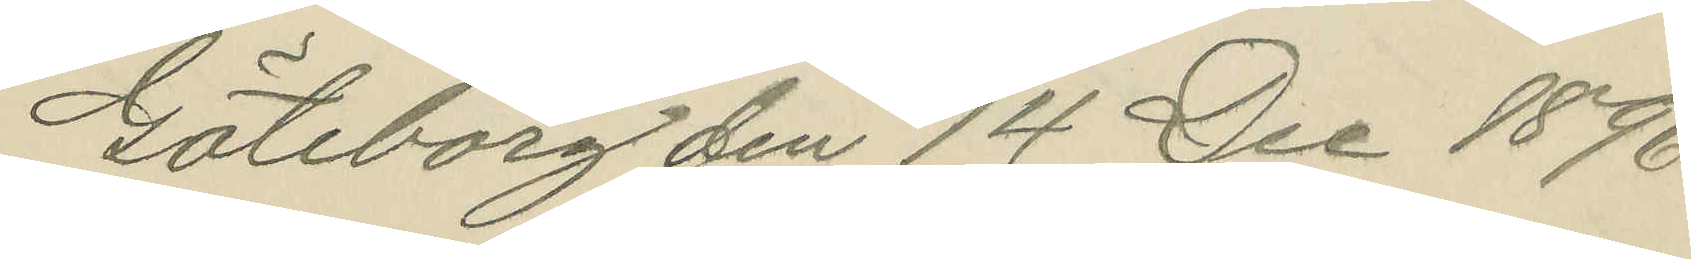Göteborg den 14 Dec. 1896.
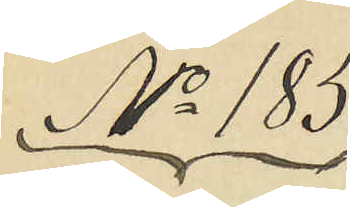No 185.
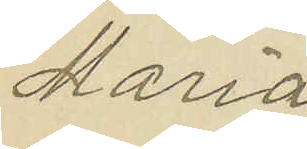Maria
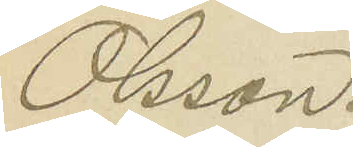Olsson.
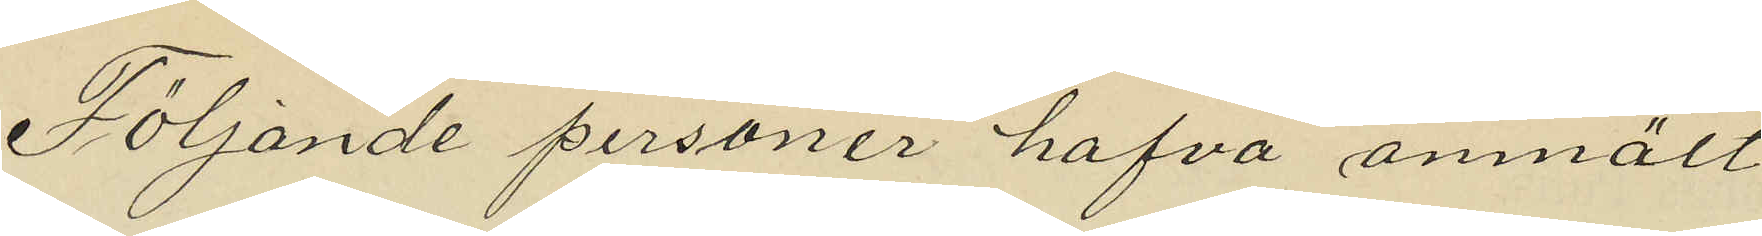Följande personer hafva anmält
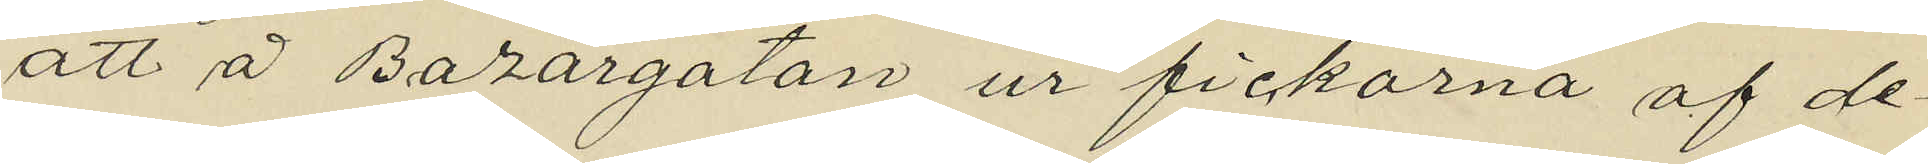att å Bazargatan ur fickorna af de¬
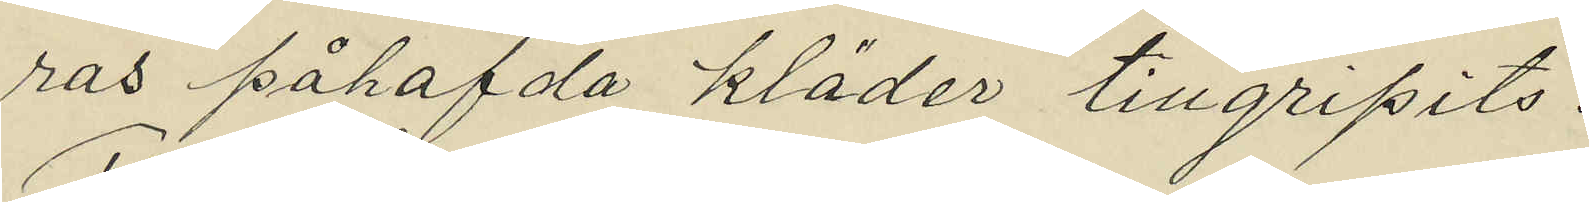ras påhafda kläder tillgripits:
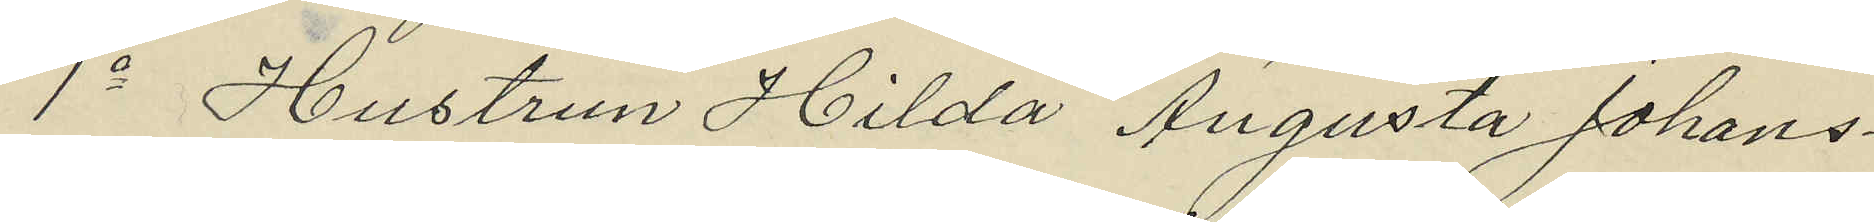1o Hustrun Hilda Augusta Johans¬
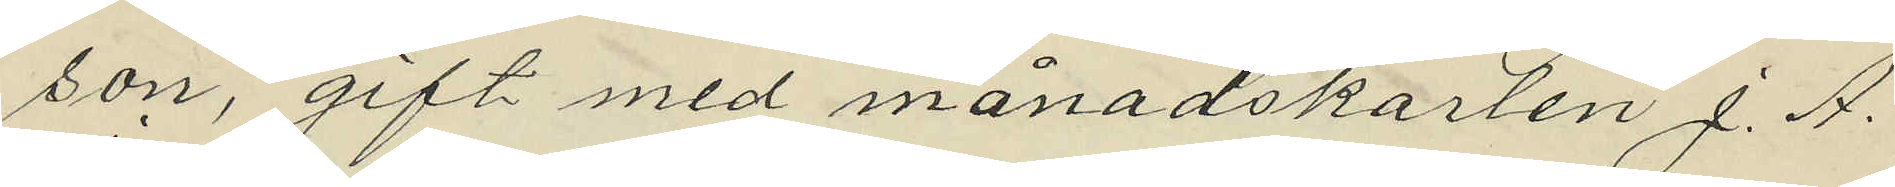son, gift med månadskarlen J. A.
